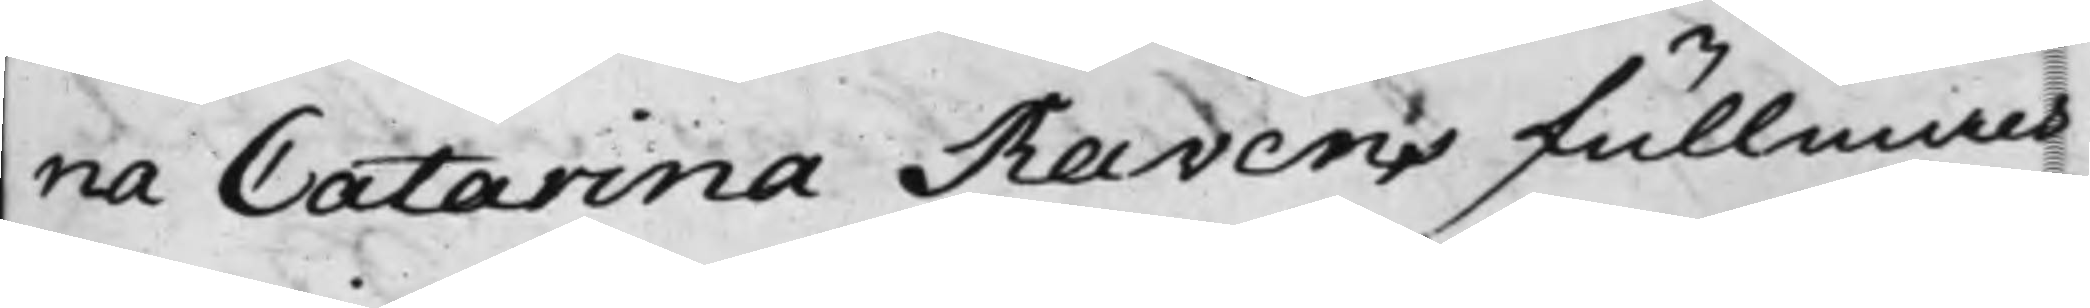na Catarina Ravens fullmäch¬
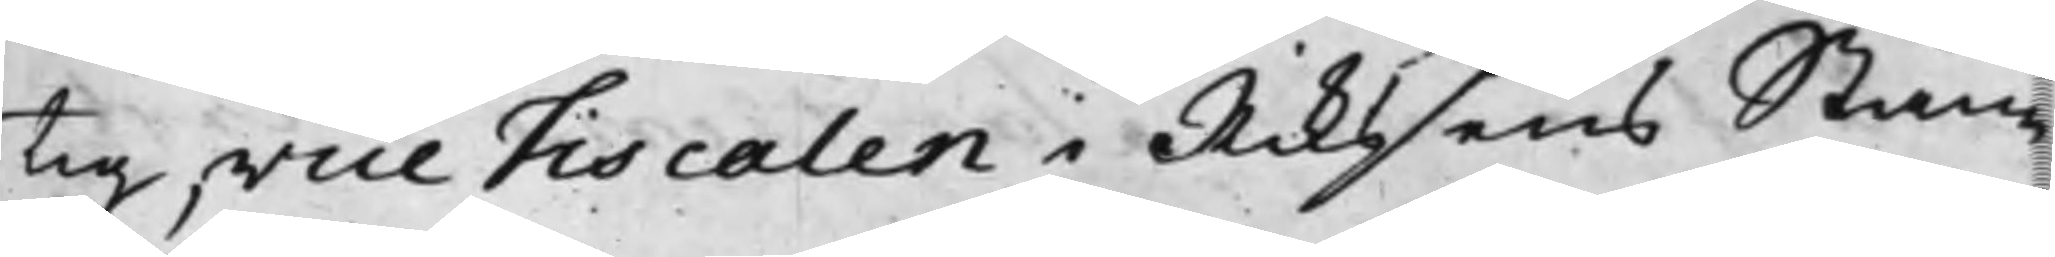tig, vice Fiscalen i Rikssens Stän¬
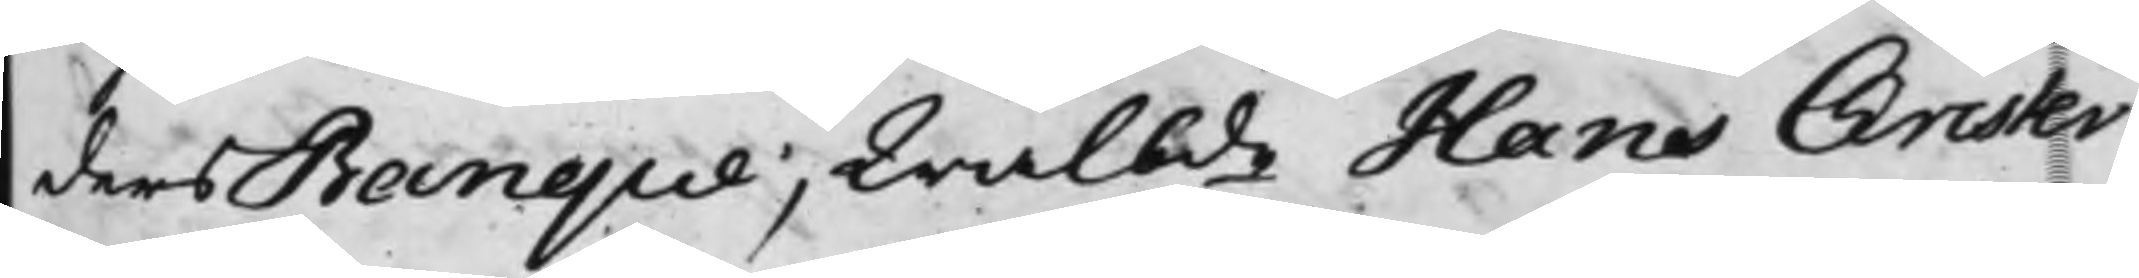ders Banque; Wälbde Hans Christer
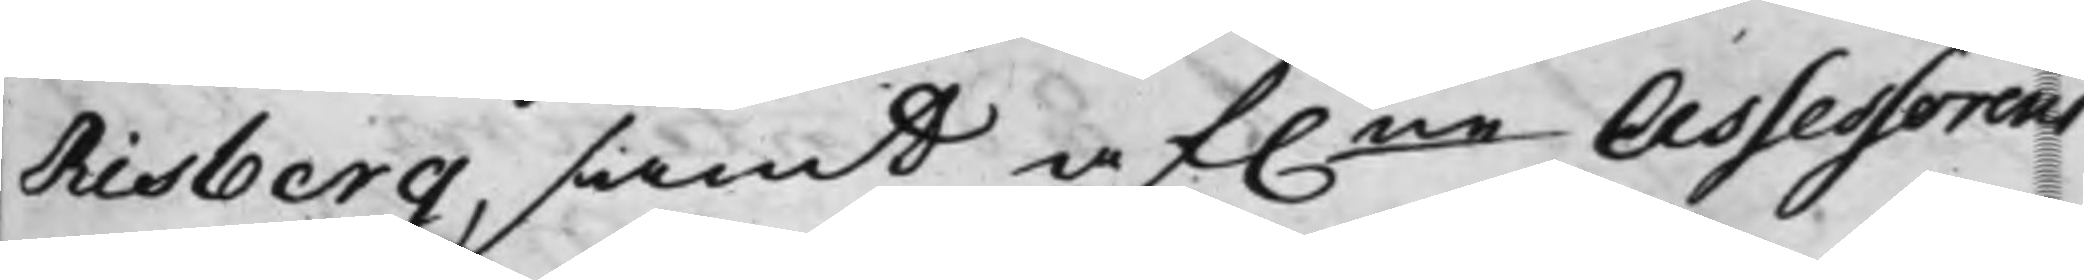Risberg, samt af.ne Assessorens
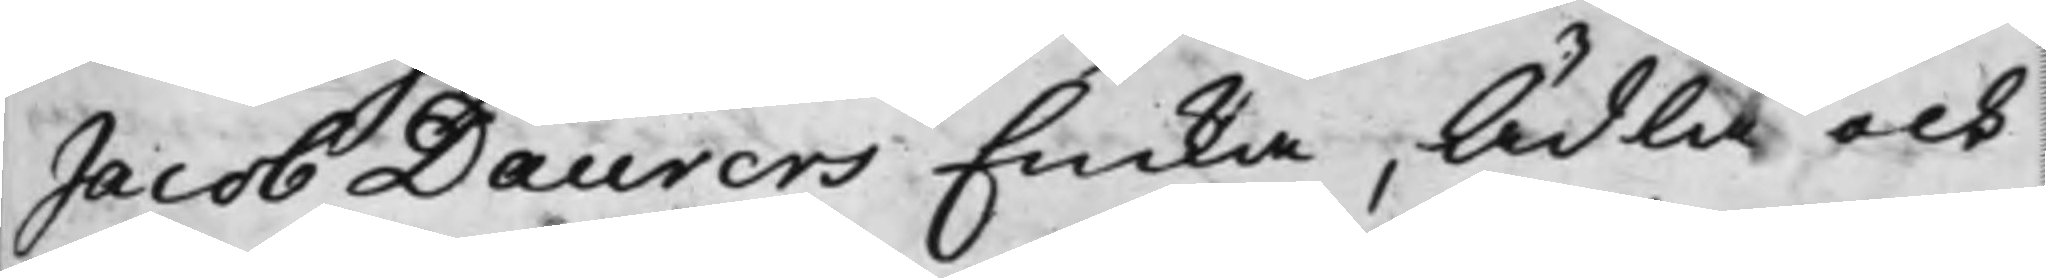Jacob Daurers Enka, Ädla och
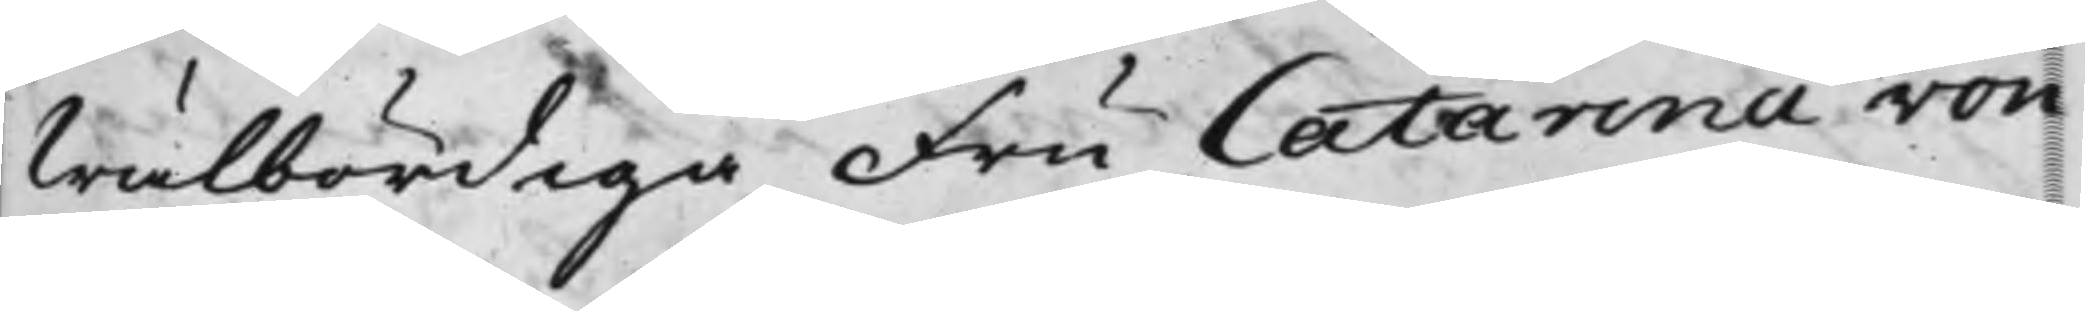Wälbördiga Fru Catarina von
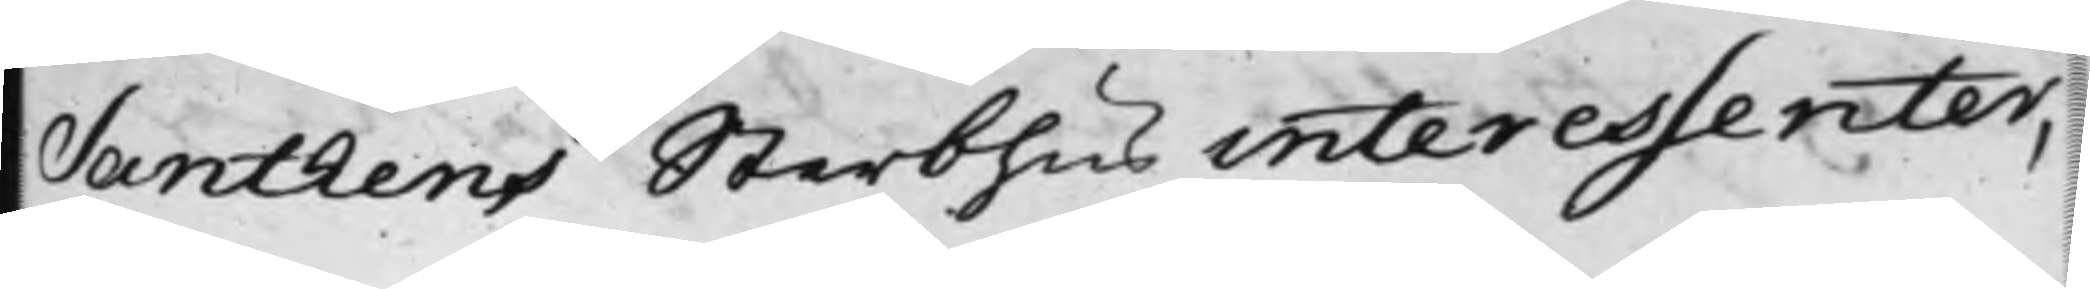Santhens Sterbhus interessenter,
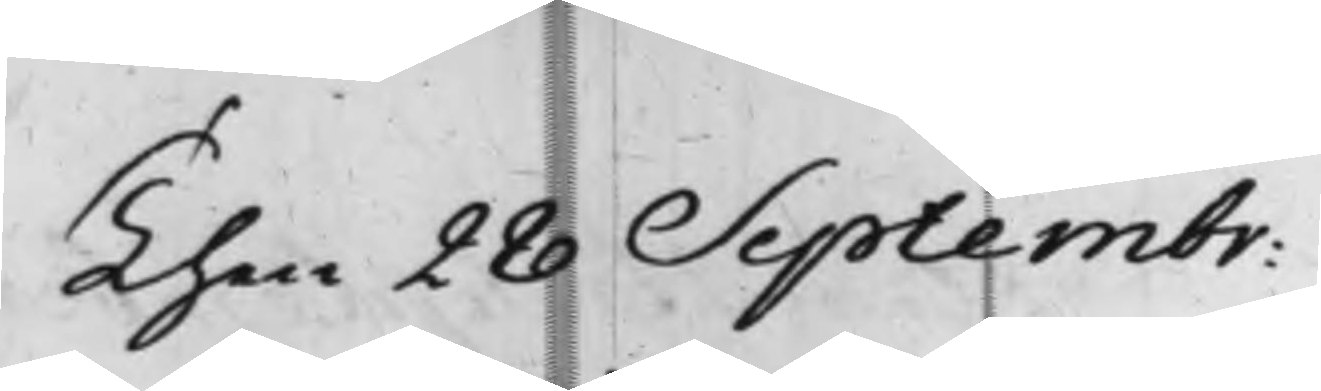Then 28 Septembr:
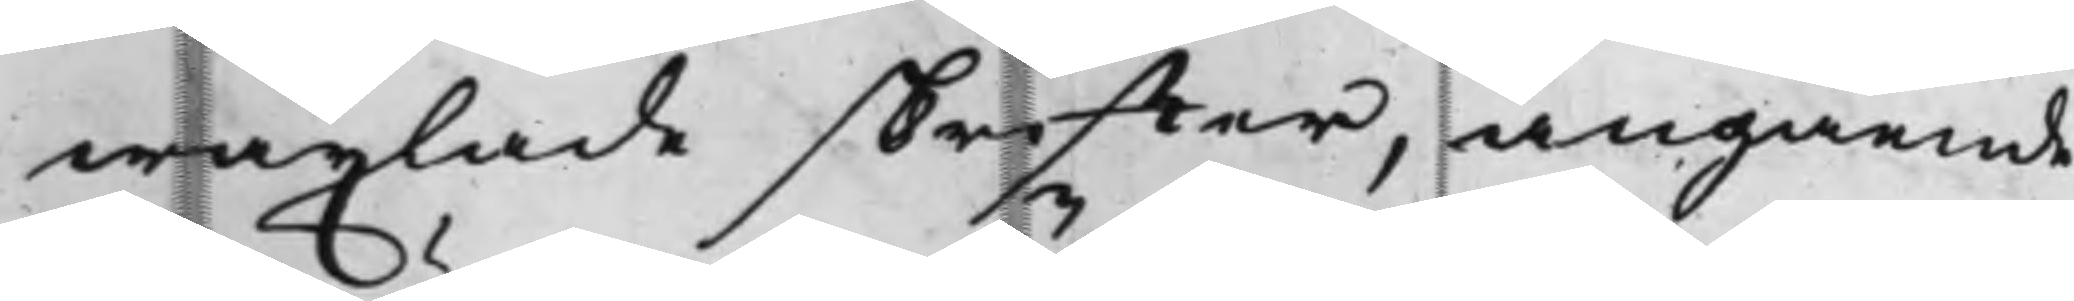wäxlade skriffter, angående
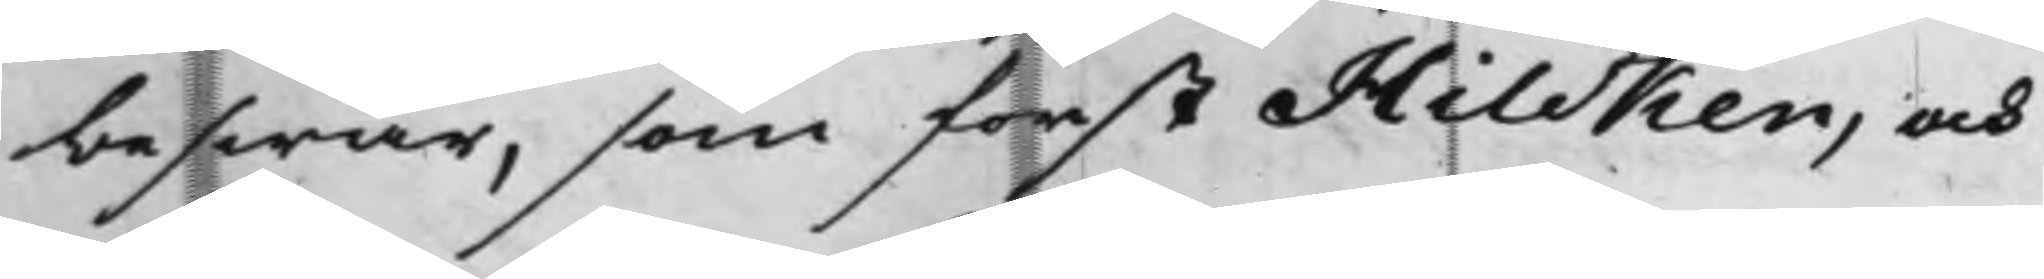beswär, som först Hilcken, och
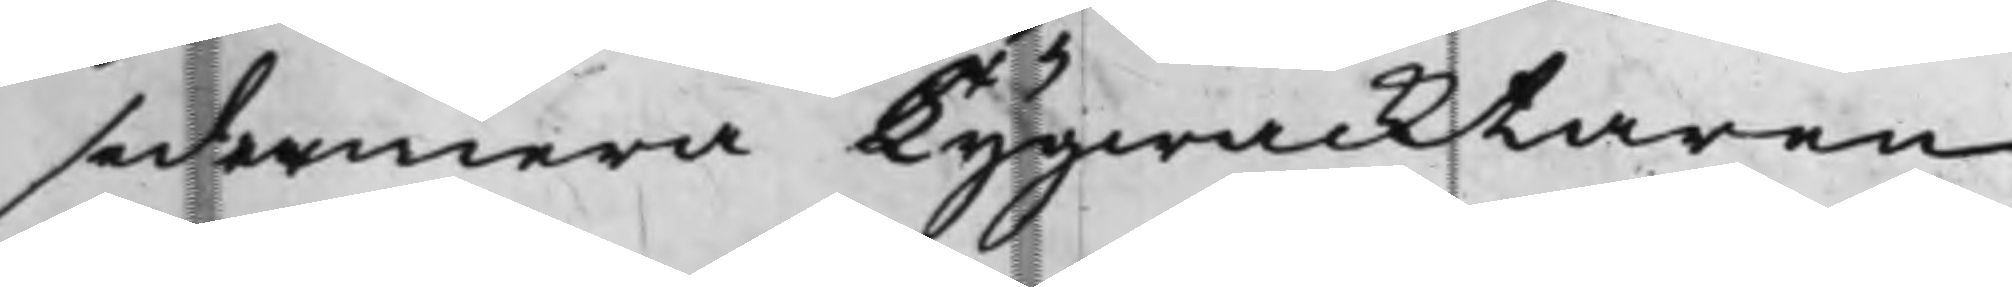sedermera Tygwacktaren
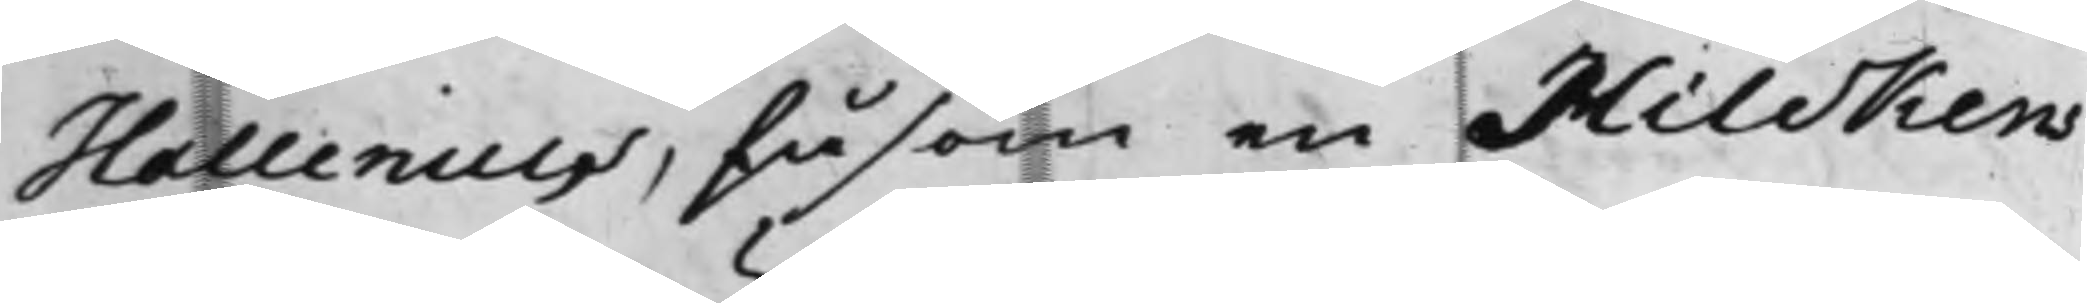Hallenius, såsom en Hilckens
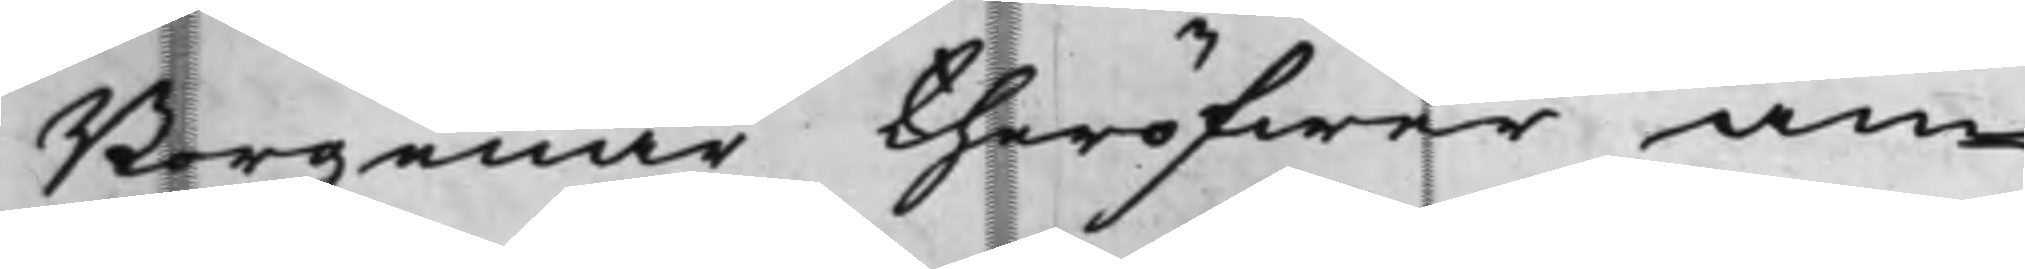Borgenar theröfwer an¬
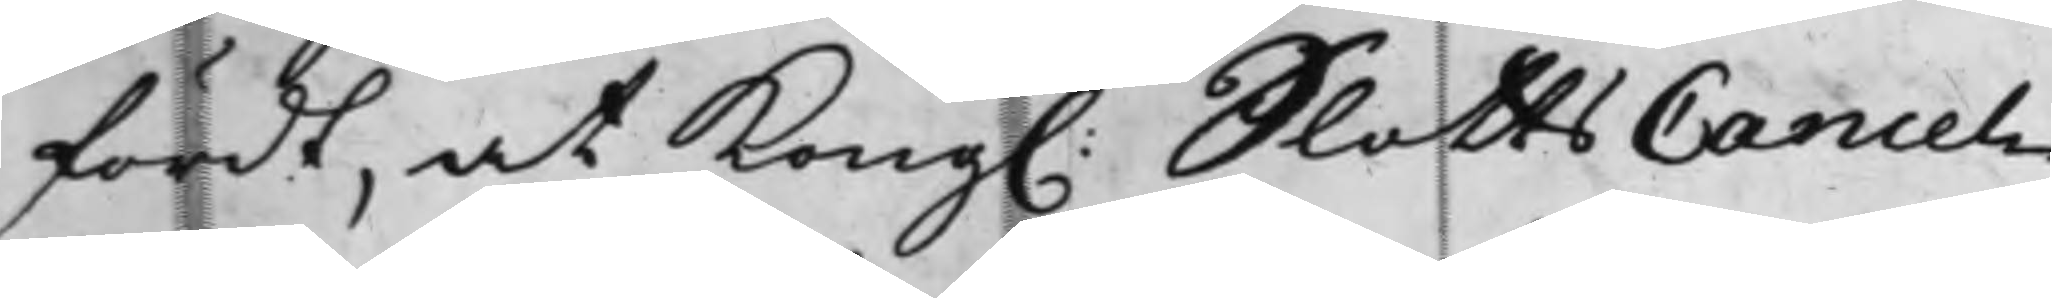fördt, at Kong. SlottsCancel¬
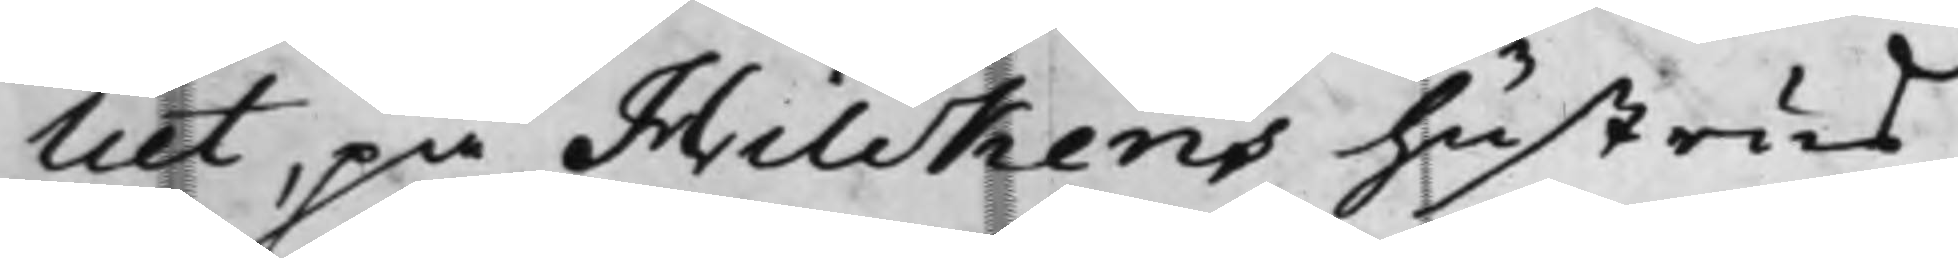liet, på Hilckens hustrus
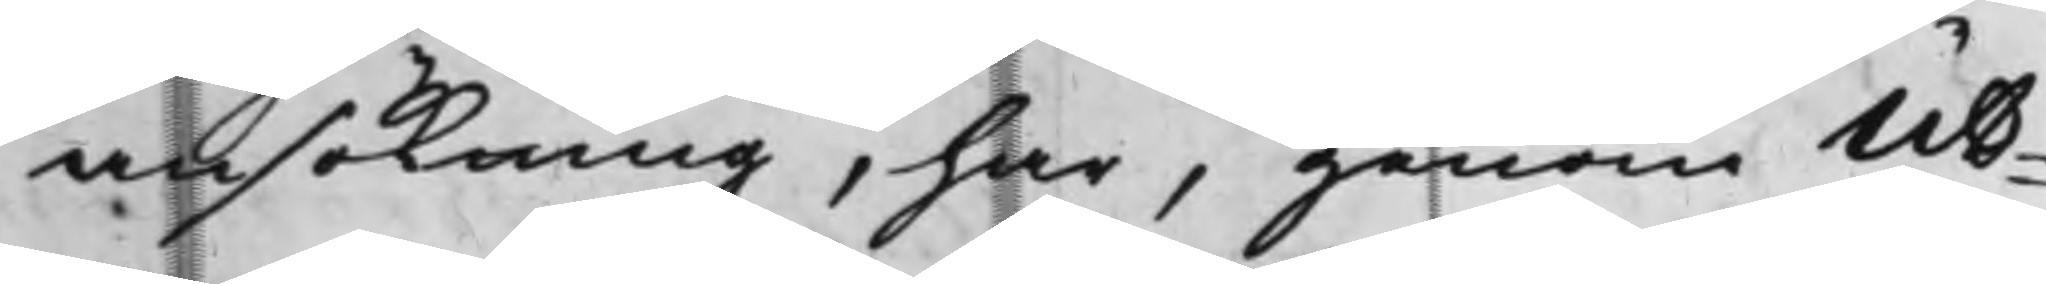ansökning, har, genom Ut¬
